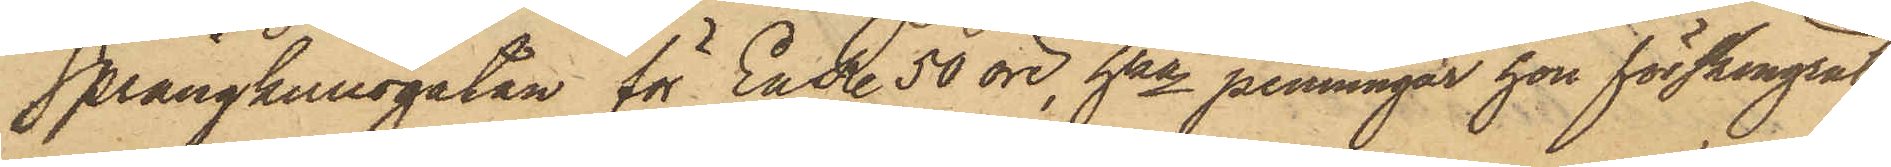Sprängkullsgatan för En R. 50 öre, hka penningar hon förskingrat
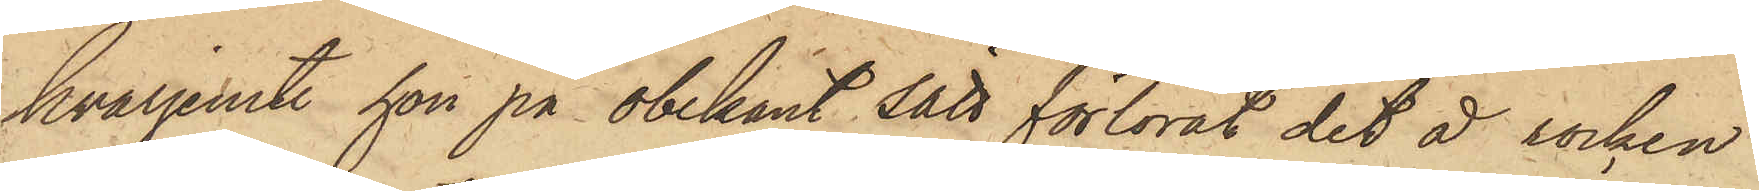hvarjemte hon på obekant sätt förlorat det å rocken
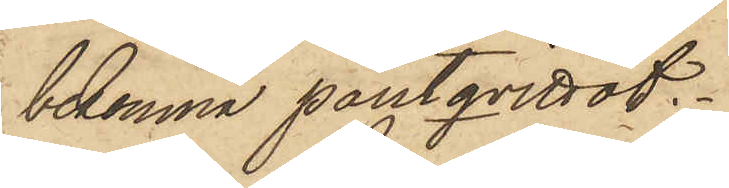bekomna pantqvittot.
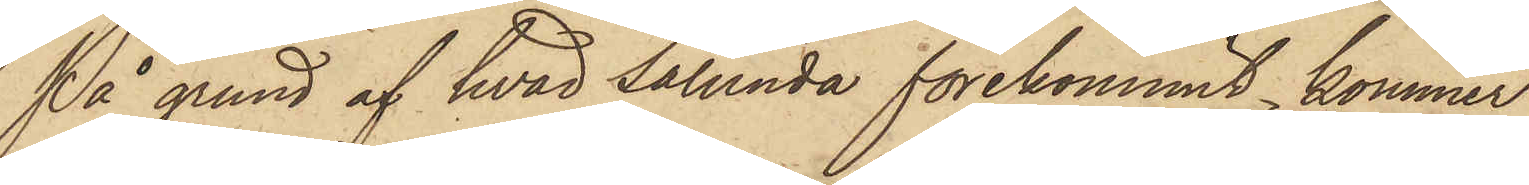På grund af hvad sålunda förekommit, kommer
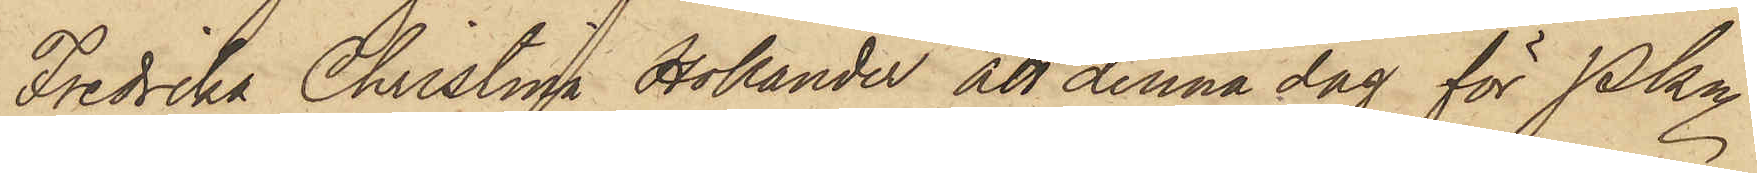Fredrika Christina Hollander att denna dag för Pkn
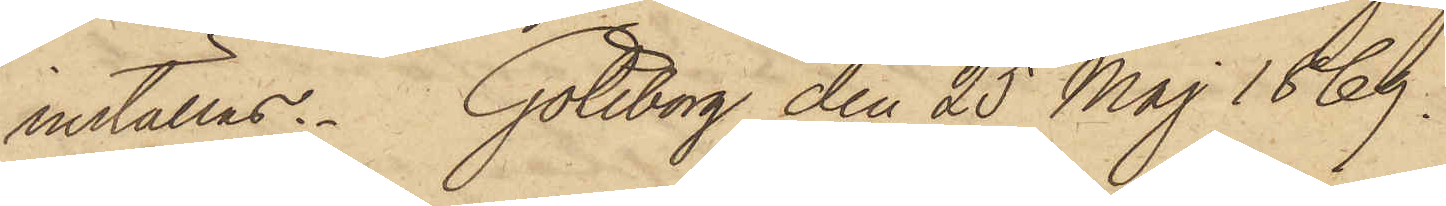inställas. Göteborg den 25 Maj 1869.
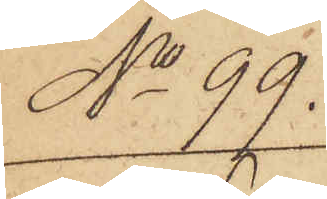No 99.
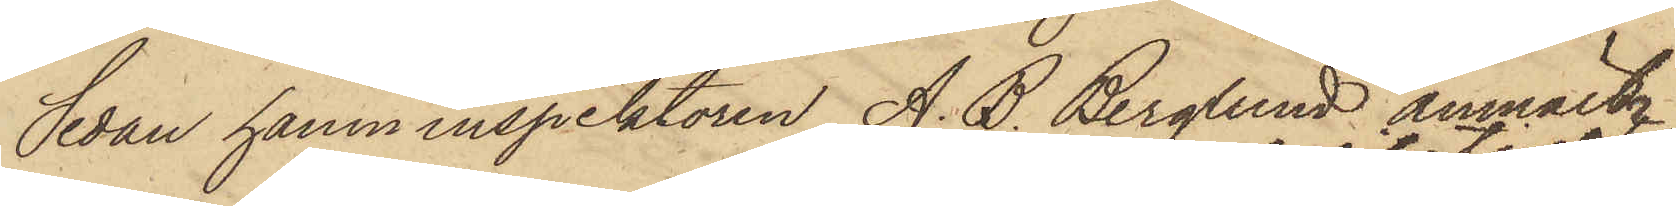Sedan hamninspektoren A. B. Berglund anmält
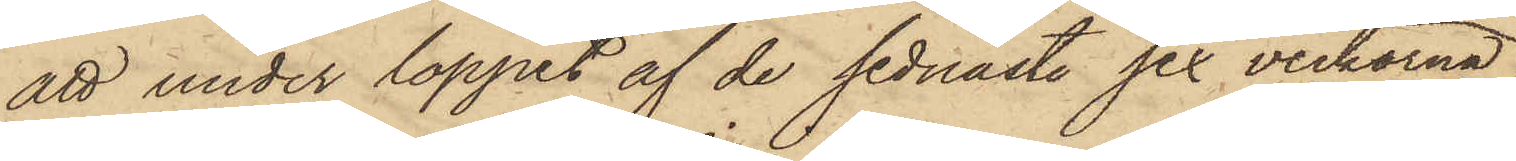att under loppet af de sednaste sex veckorna
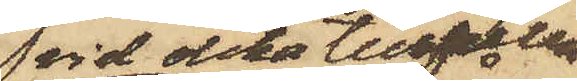vid olika tillfällen
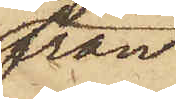från
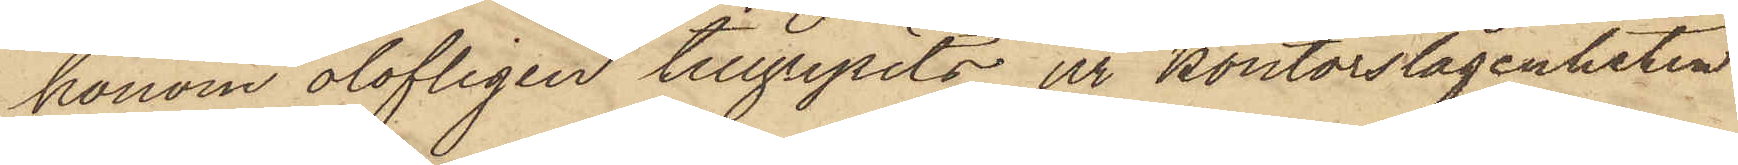honom olofligen tillgripits ur kontorslägenheten
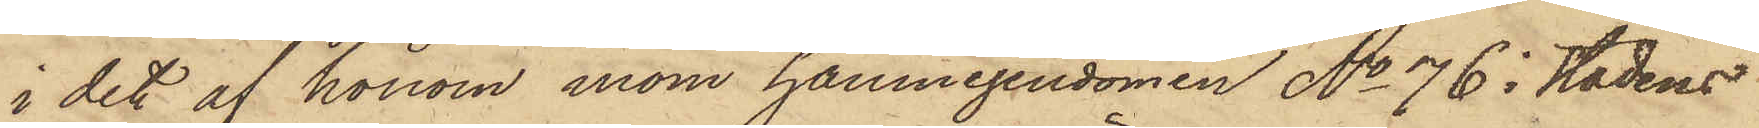i det af honom inom hamnegendomen No 76 i Stadens
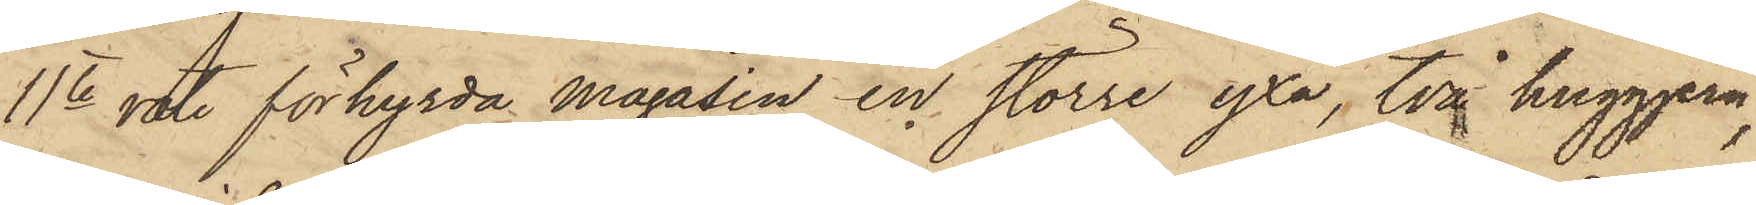11te rote förhyrda Magasin en större yxa, två huggjern,
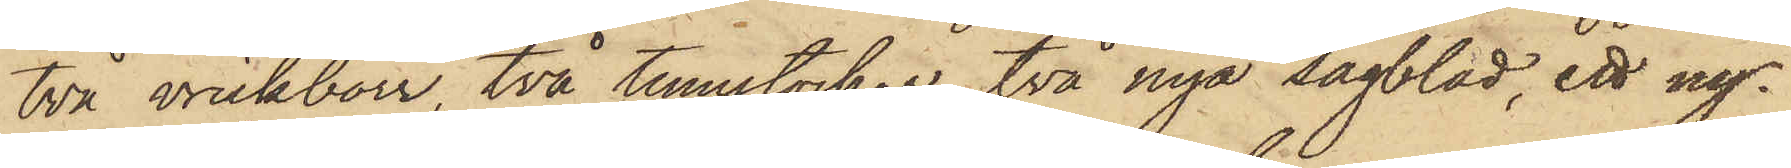två vrickborr, två tumstockar, två nya sågblad, ett ny¬
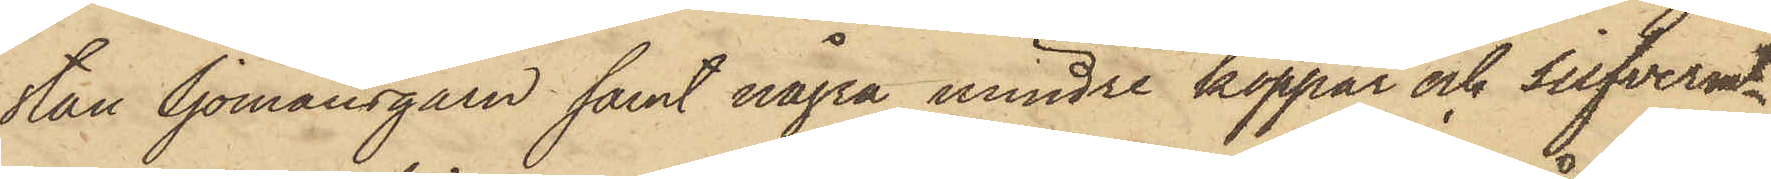stan Sjömansgarn samt några mindre koppar och silfvermt,
